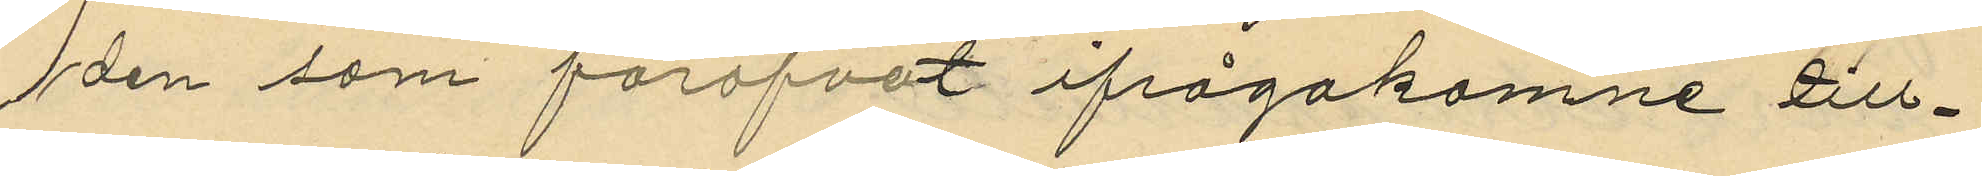den som föröfvat ifrågakomne till¬
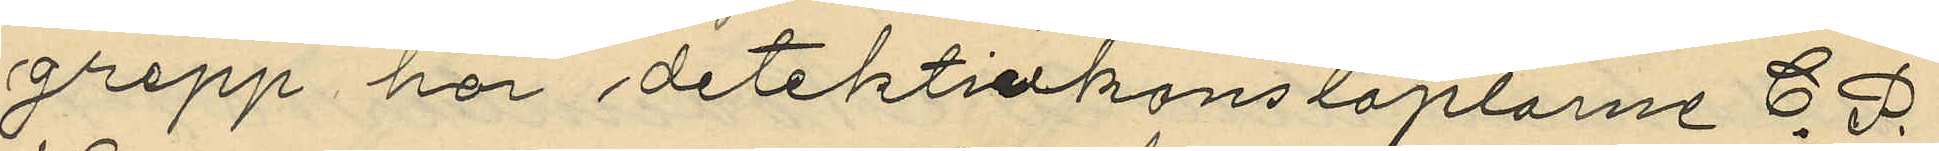grepp har detektivkonstaplarne C. F.
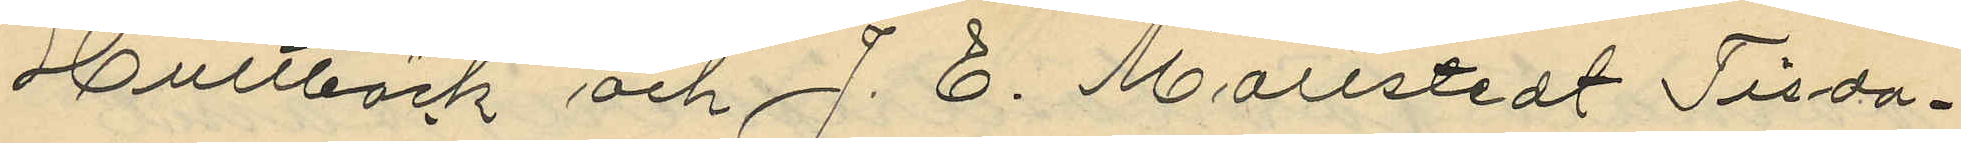Hultbäck och J. E. Mollstedt Tisda¬
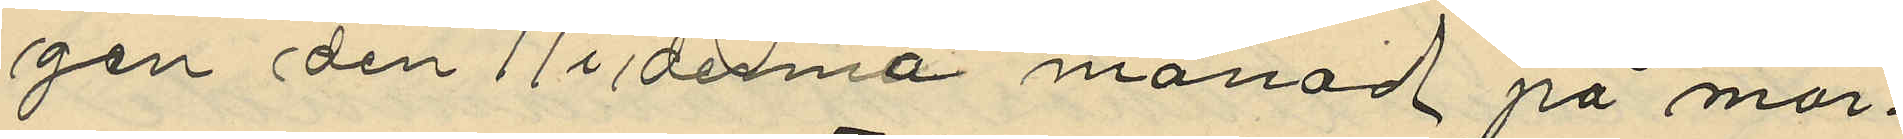gen den 11 i denna månad på mor¬
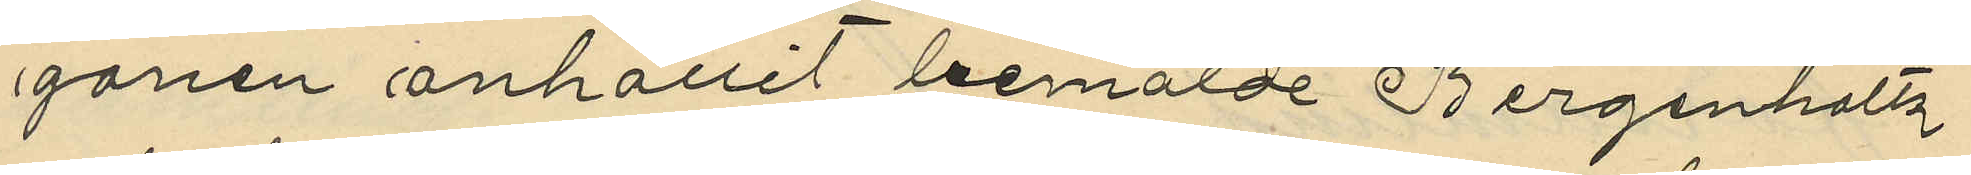gonen anhållit bemälde Bergenholtz
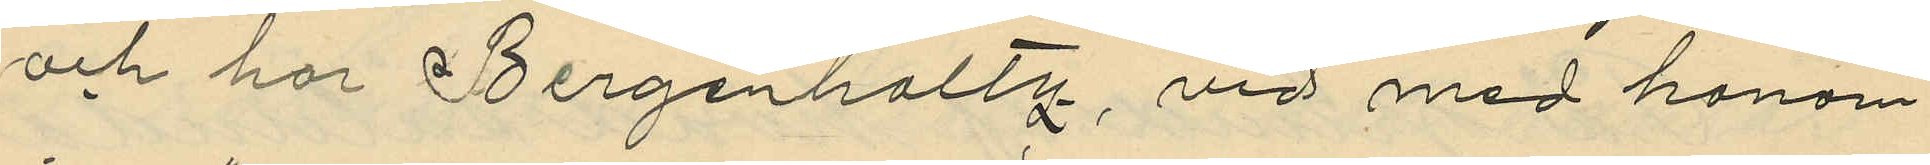och har Bergenholtz, vid med honom
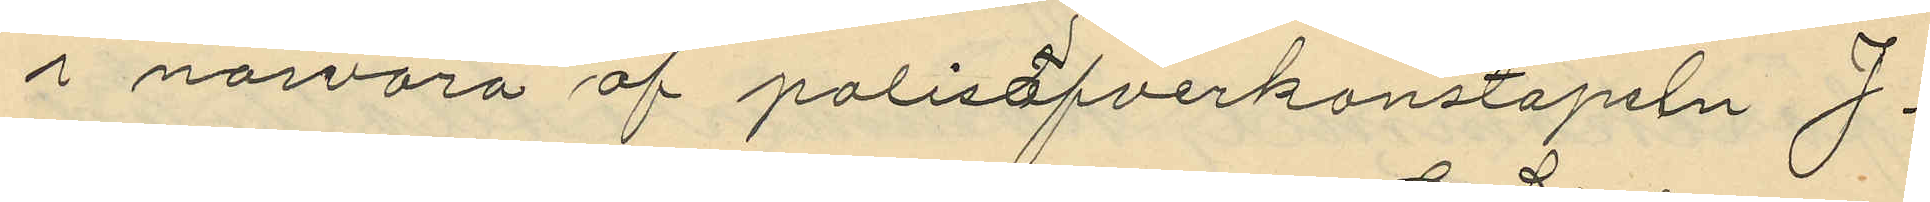i närvaro af polisöfverkonstapeln J.
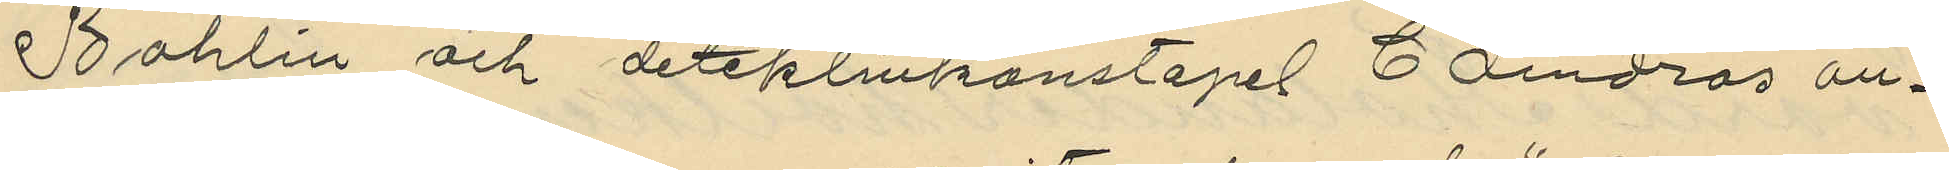Bohlin och detektivkonstapel C. Lindros an¬
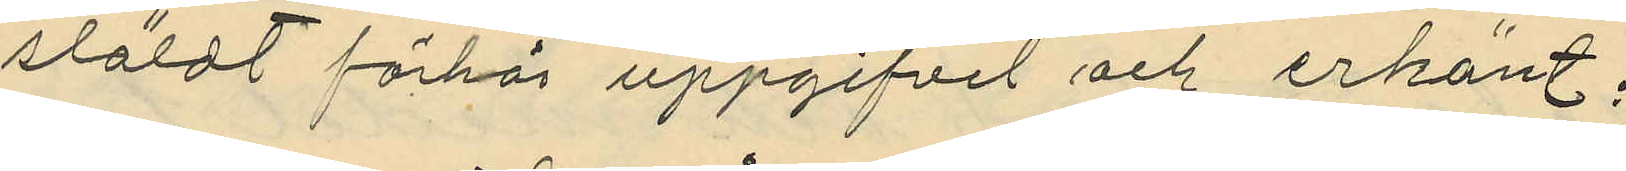stäldt förhör uppgifvit och erkänt:
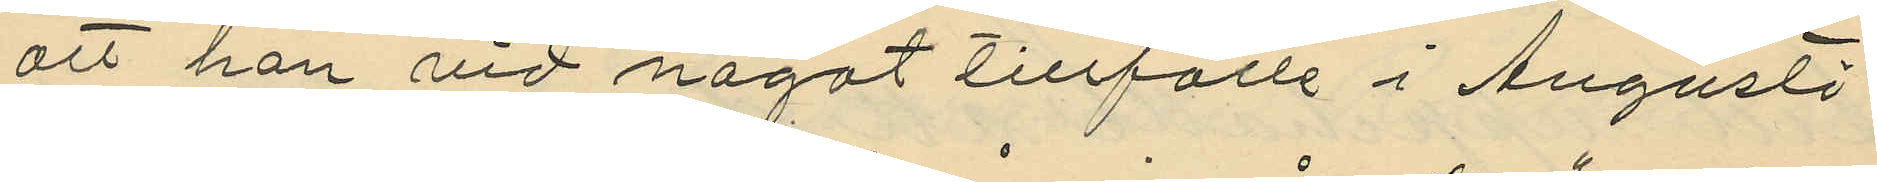att han vid något tillfälle i Augusti
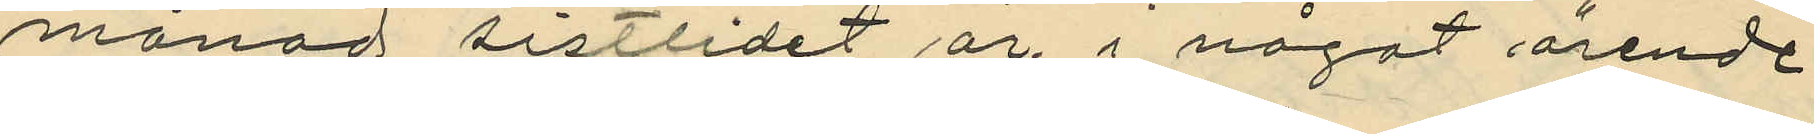månad sistlidet år, i något ärende
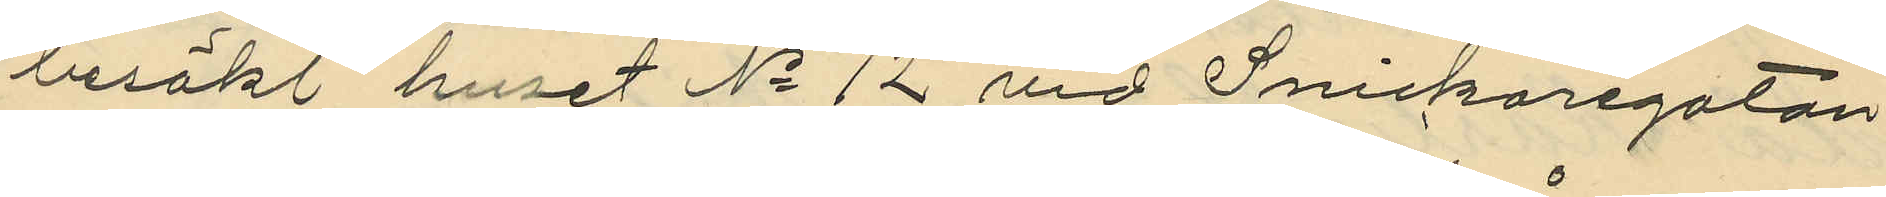besökt huset No 12 vid Snickaregatan
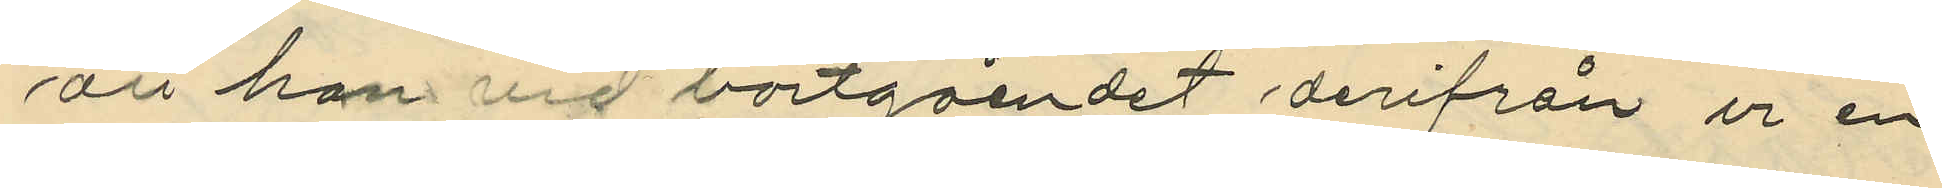att han vid bortgåendet derifrån ur en
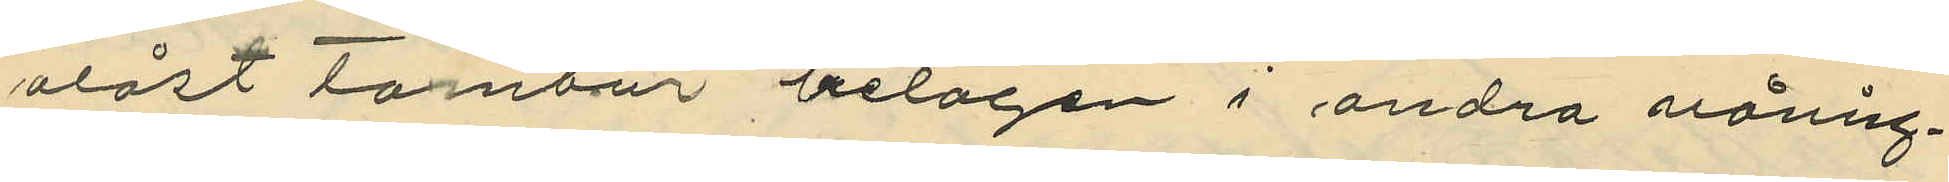olåst tambur belägen i andra våning¬
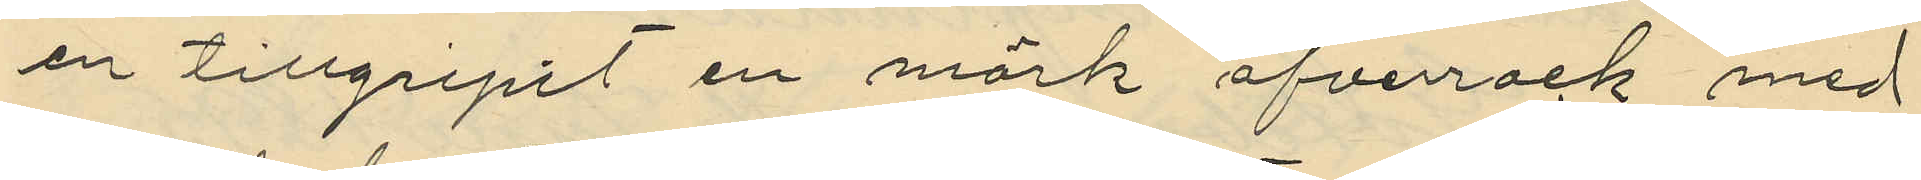en tillgripit en mörk öfverrock med
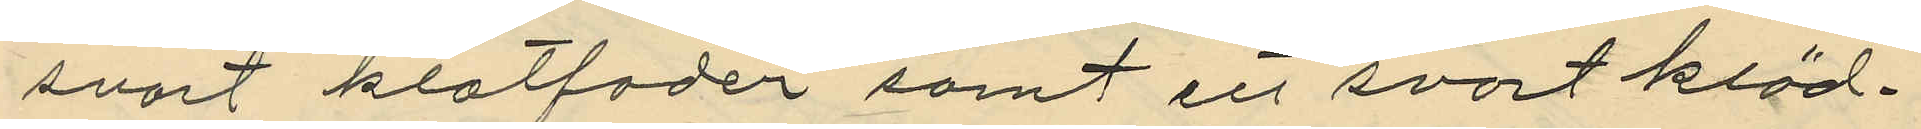svart klotfoder samt en svart kläd¬
